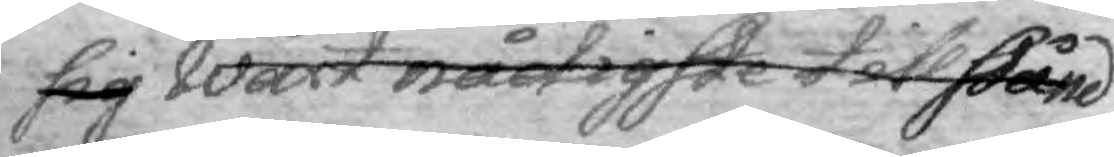sig Wårt nådigste tillstånd
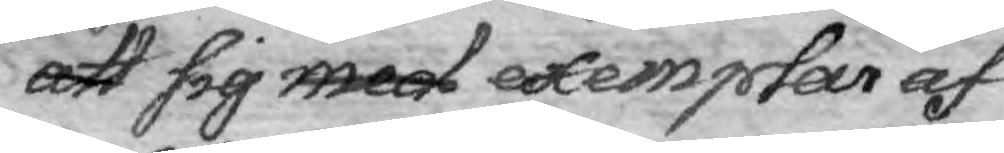att sig med exemplar af
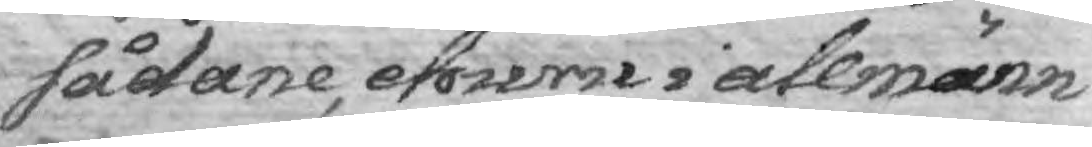sådane, ehuru i allmänn¬
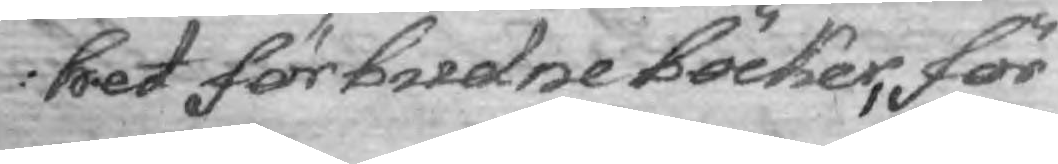het förbudne Böcker, för¬
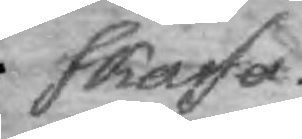skaffa.
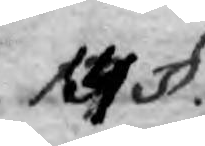14 §.
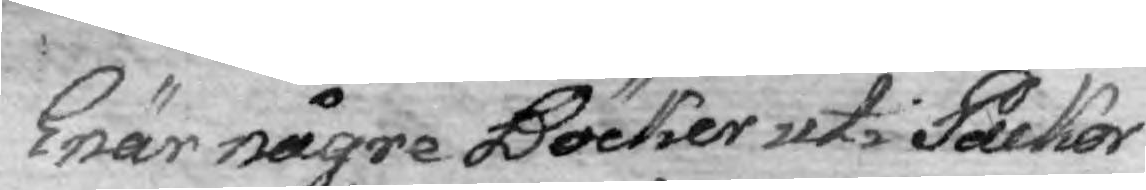Enär någre Böcker uti Packor
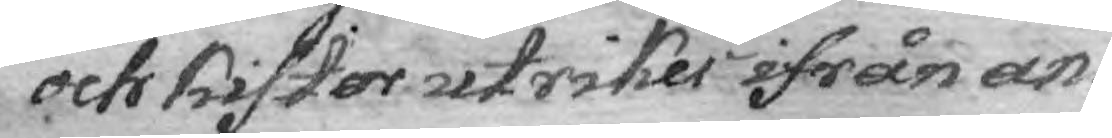och Kistor utirikes ifrån an¬
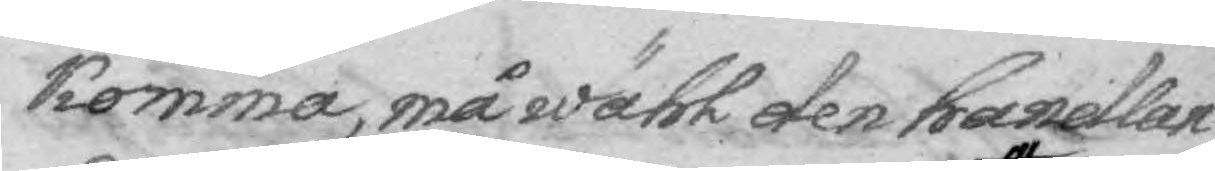komma, må wähl den handlan¬
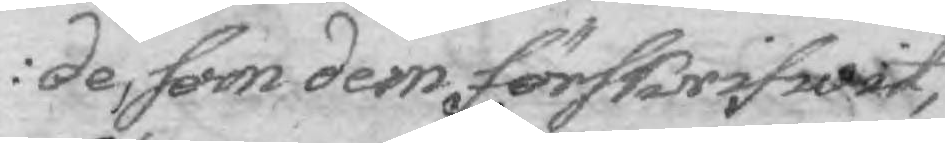de, som dem förskrifwit,
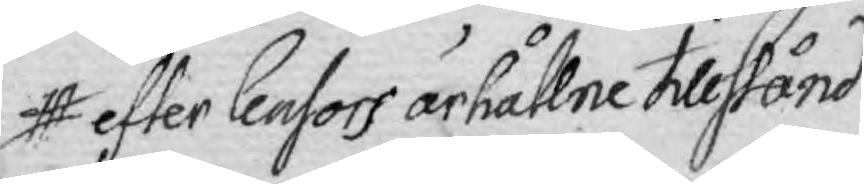efter Censors ärhållne tillstånd
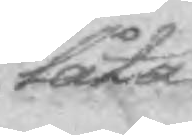låta
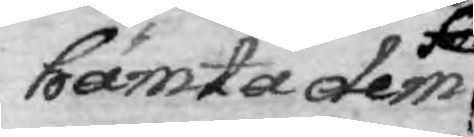hämta dem
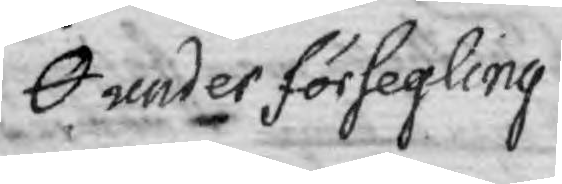under försegling
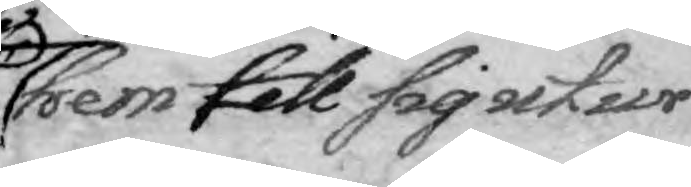hem till sig utur
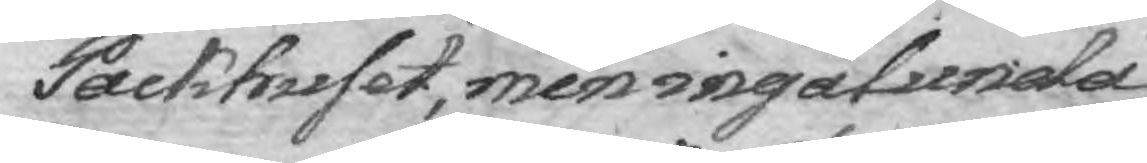Packhuset, men ingalunda
